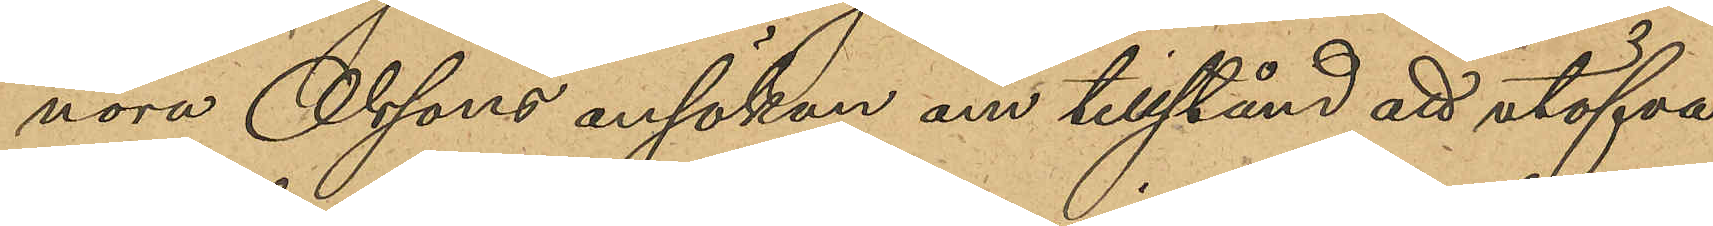nora Olssons ansökan om tillstånd att utöfva
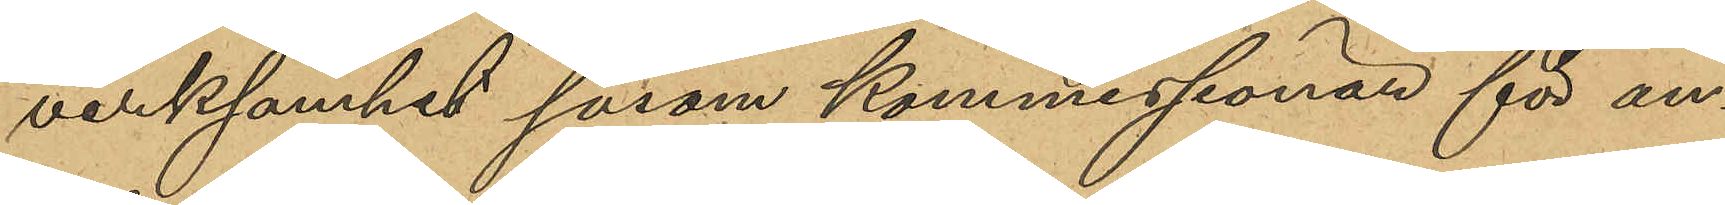verksamhet såsom kommissionär för an¬
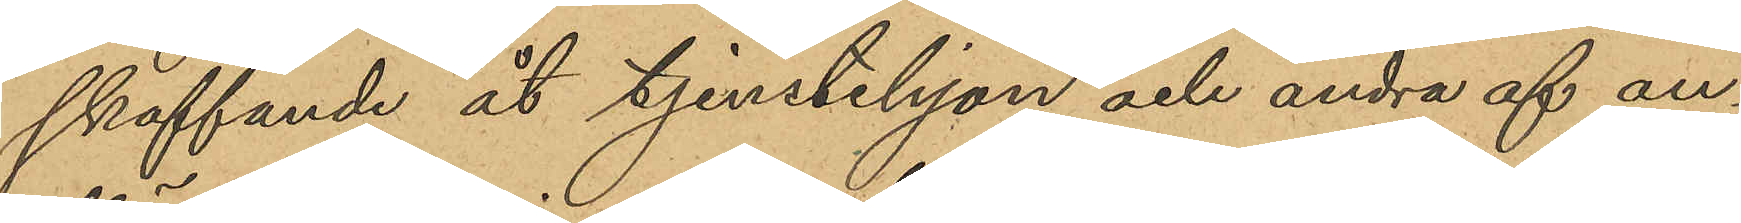skaffande åt tjenstehjon och andra af an¬
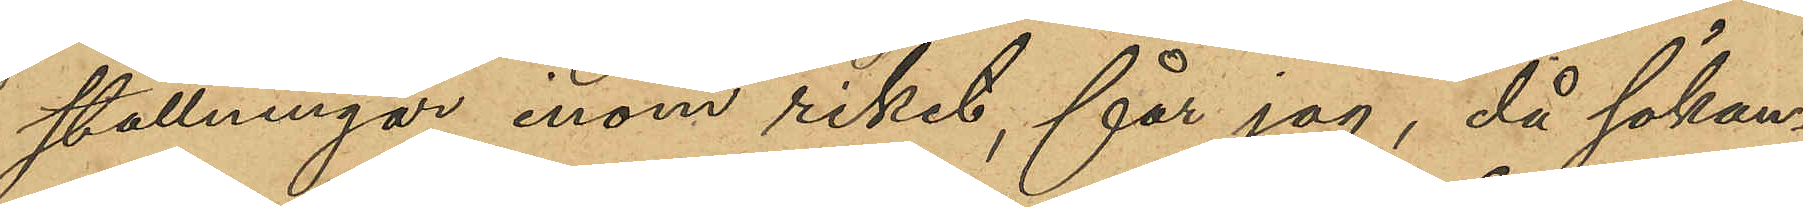ställningar inom riket, får jag, då sökan¬
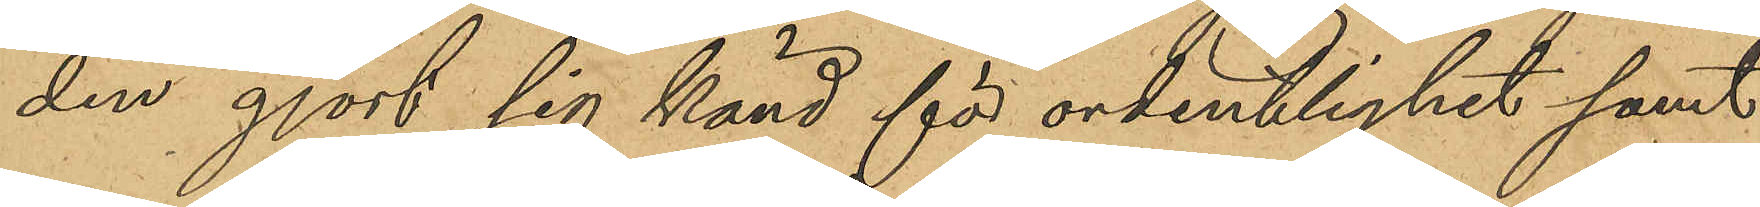den gjort sig känd för ordentlighet samt
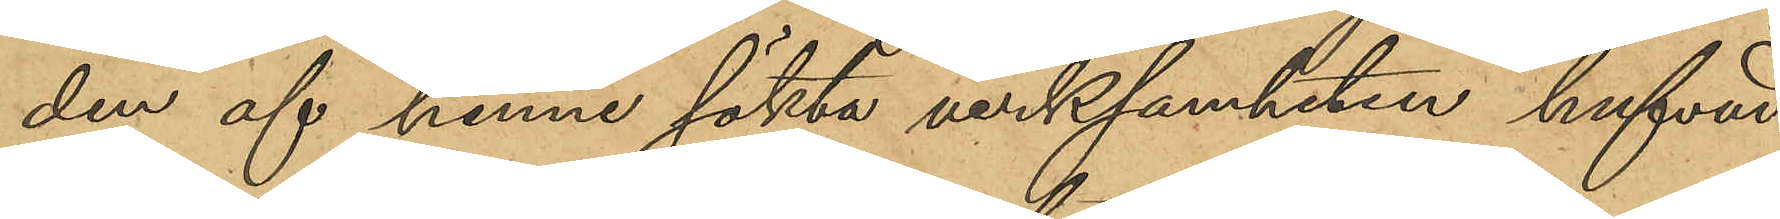den af henne sökta verksamheten hufvud¬
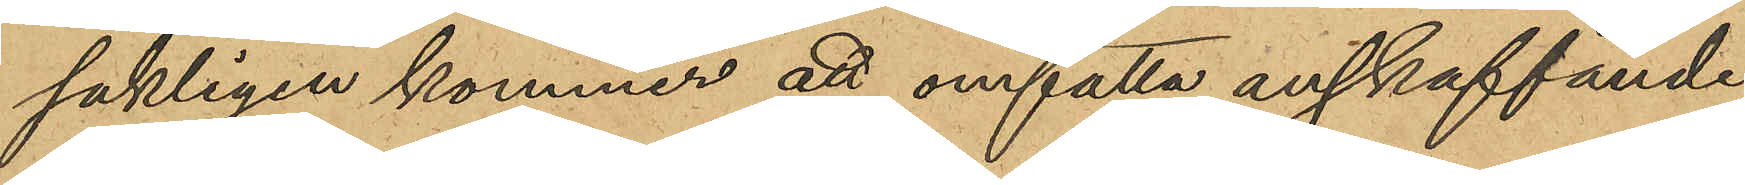sakligen kommer att omfatta anskaffande
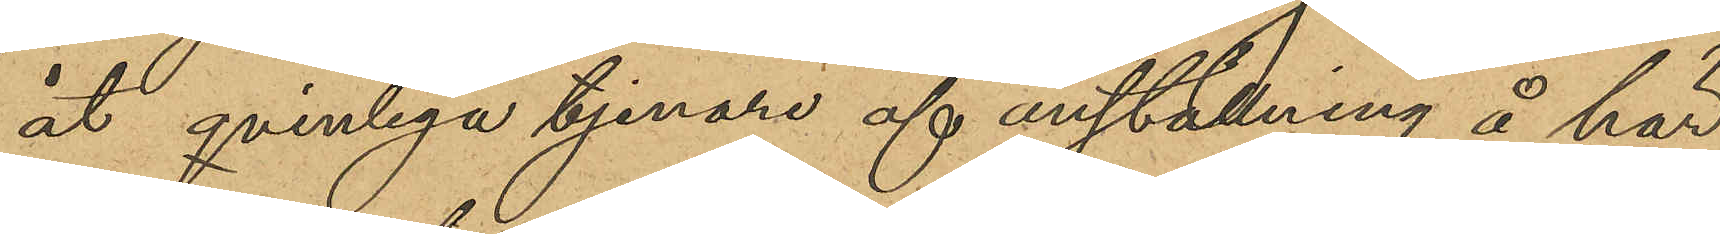åt qvinliga tjenare af anställning å här
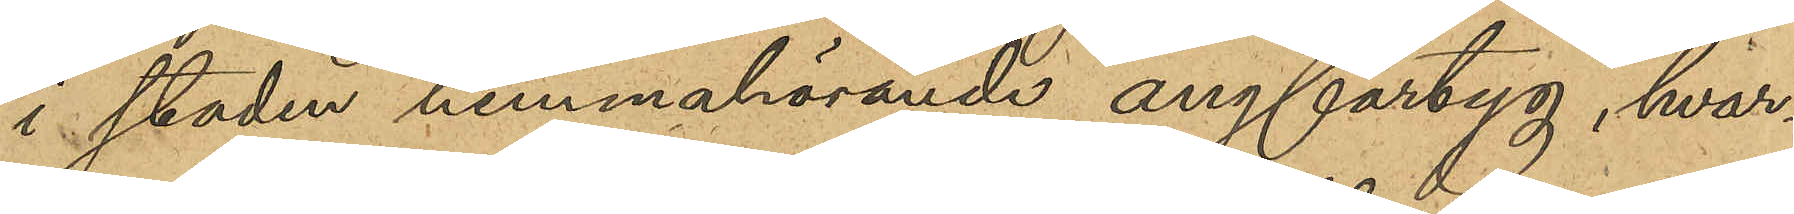i staden hemmahörande ångfartyg, hvar¬
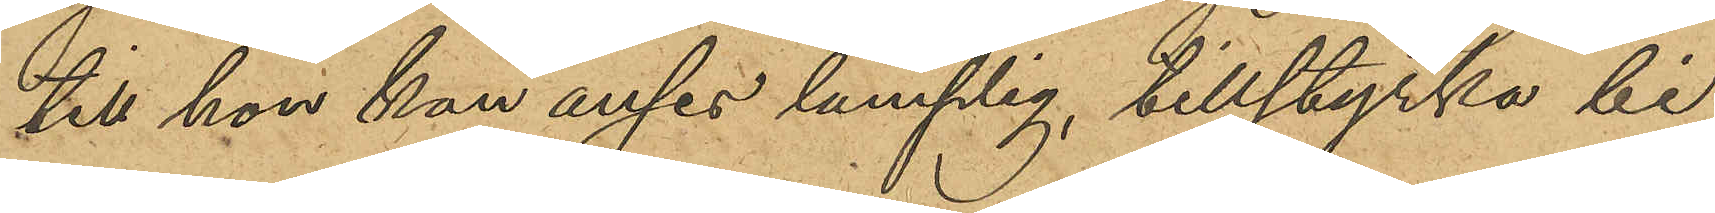till hon kan anses lämplig, tillstyrka bi¬
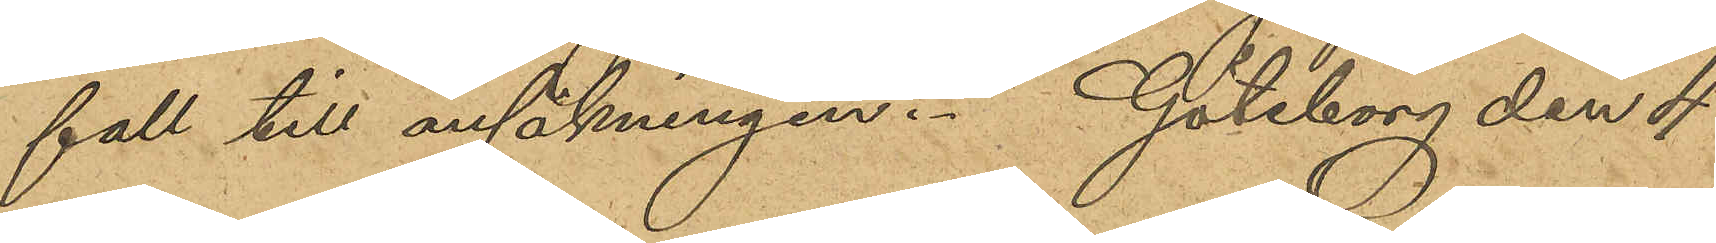fall till ansökningen. Göteborg den 4
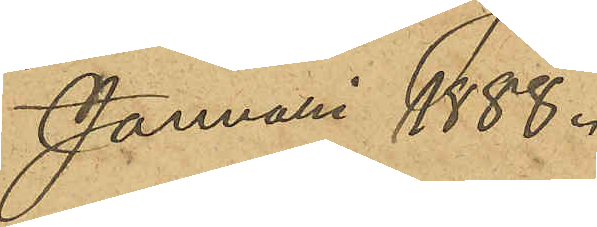Januari 1888.
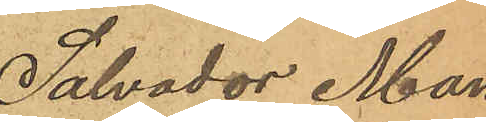Salvador Man¬
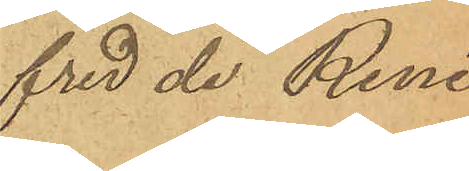fred de René
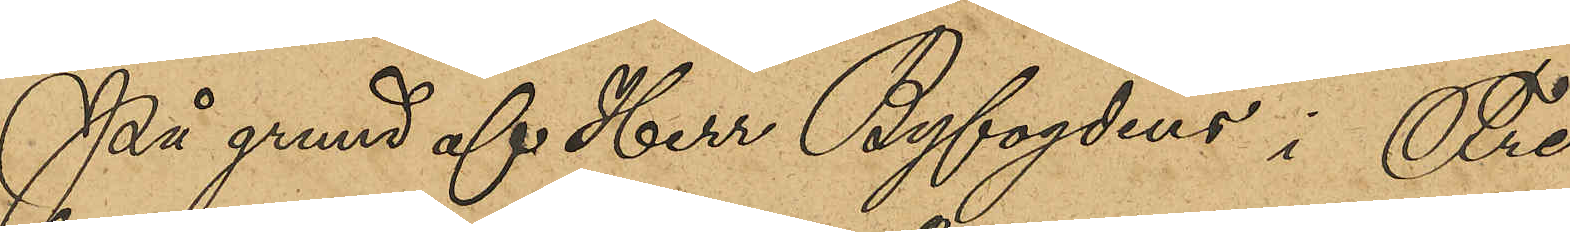På grund af Herr Byfogdens i Fre¬
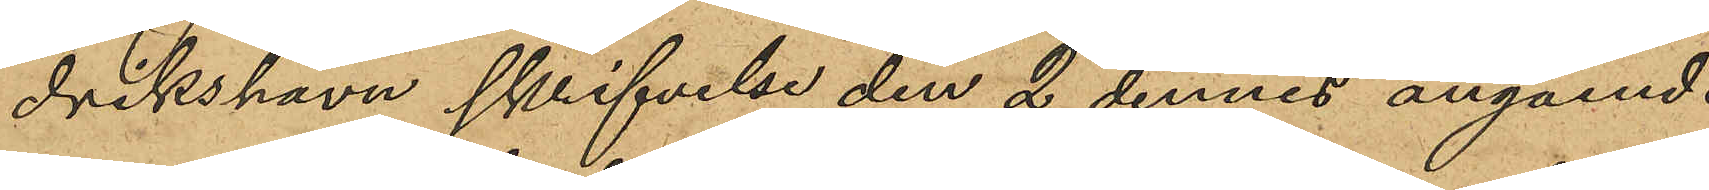drikshavn skrifvelse den 2 dennes angående
